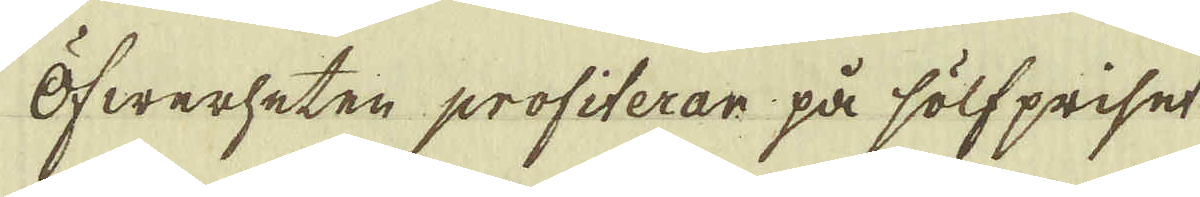Öfwerheten profiterar på sölf priset
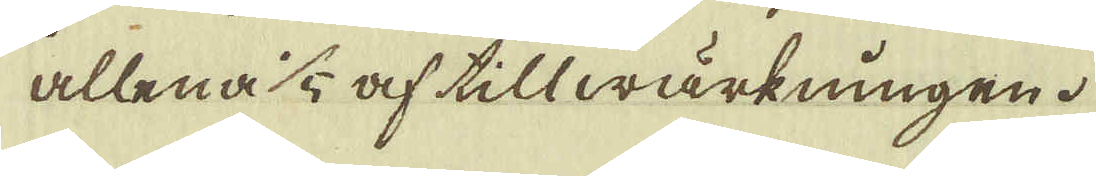allena 1/5 af tillwärkningen.
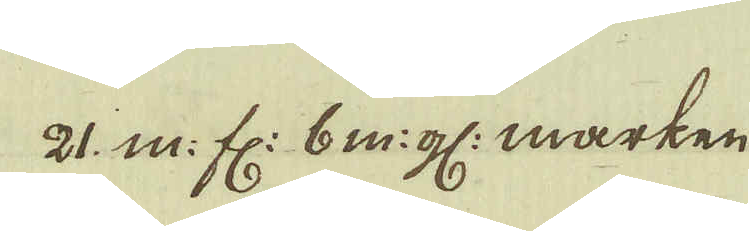21 m: fl: 6 m:gl: marken.
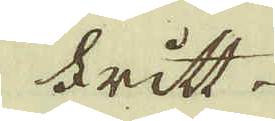Fritt
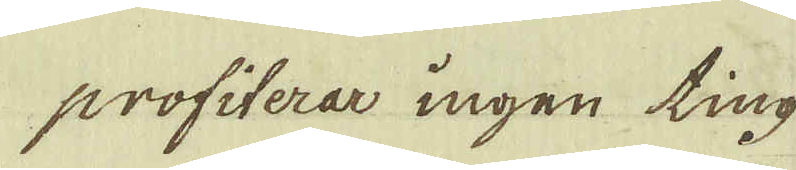profiterar ingen ting
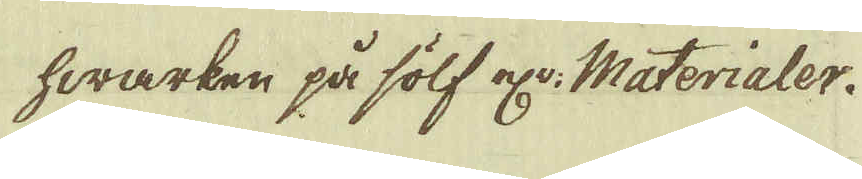hwarken på sölf elr: Materialer.
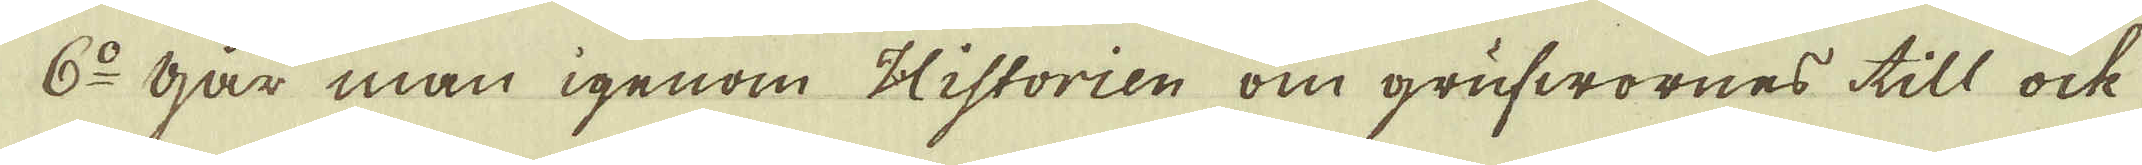6:o Har man igenom Historien om grufwornes till ock
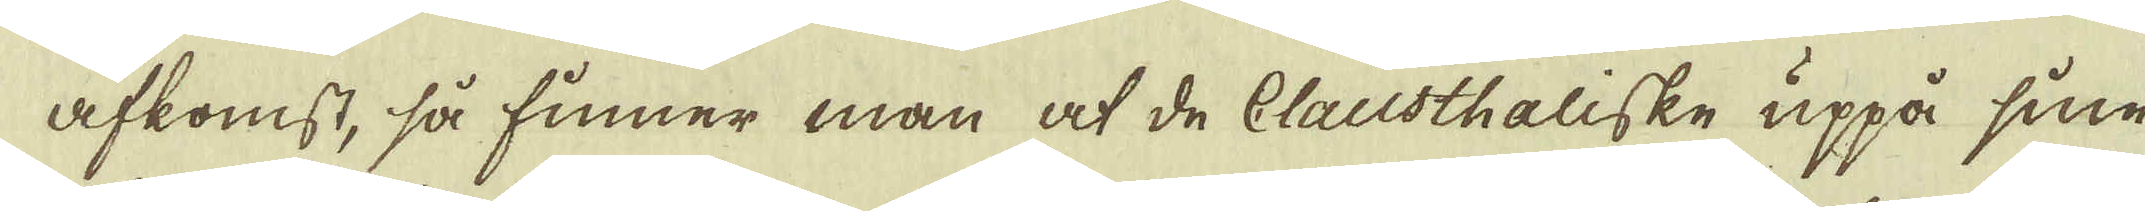afkomst, så finner man at de Clausthaliske uppå sine
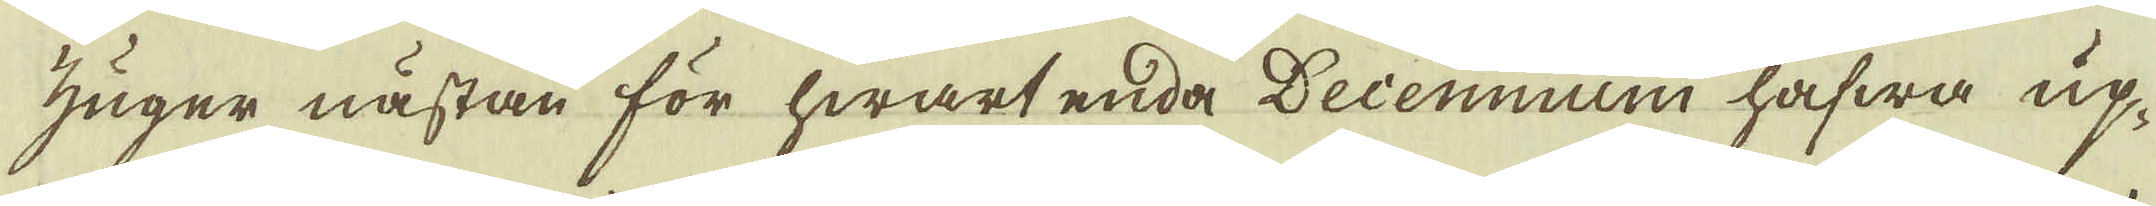zuger nästan för hwart enda Decennium hafwa up-
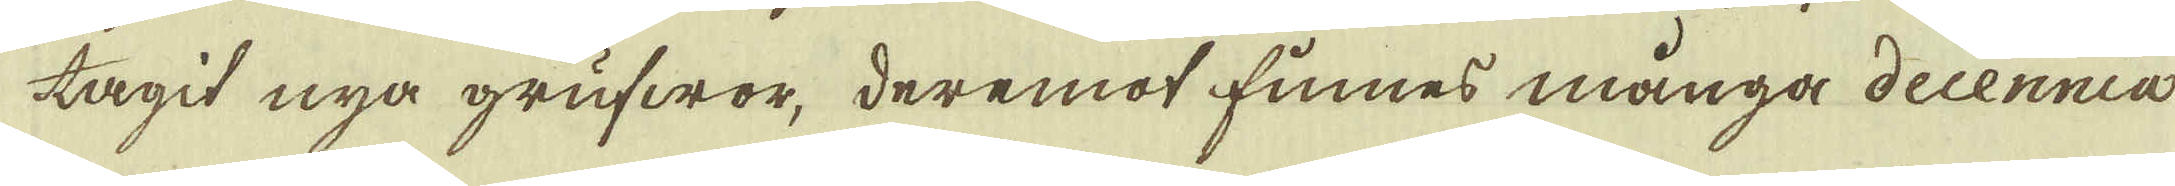tagit nya grufwor, deremot finnes många decennia
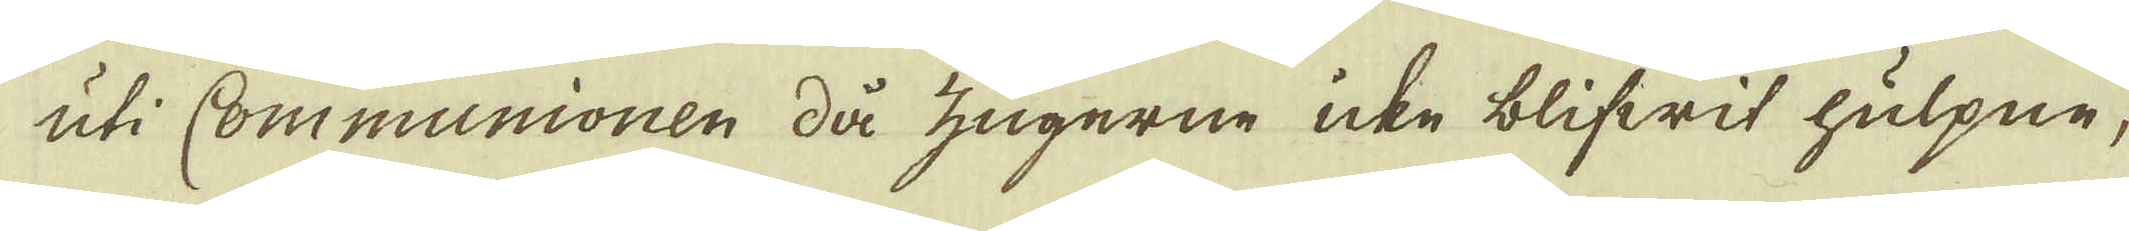uti Communionen då zugerne icke blifwit hulpne,
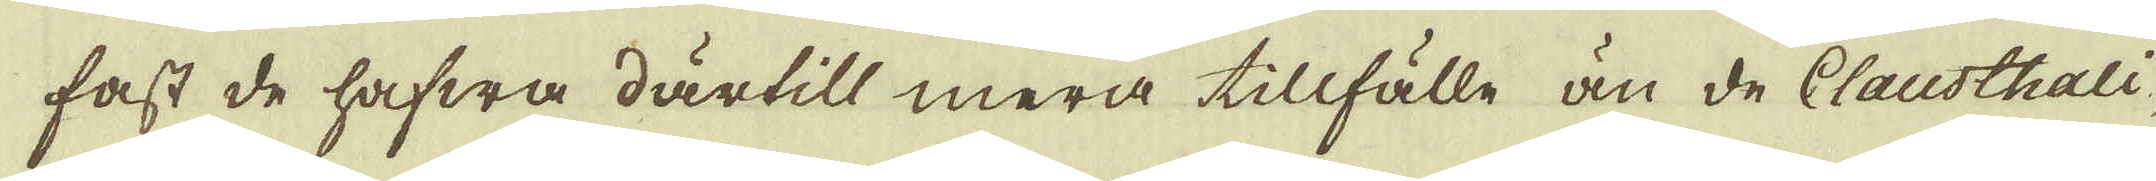fast de hafwa därtill mera tillfälle än de Clausthali-
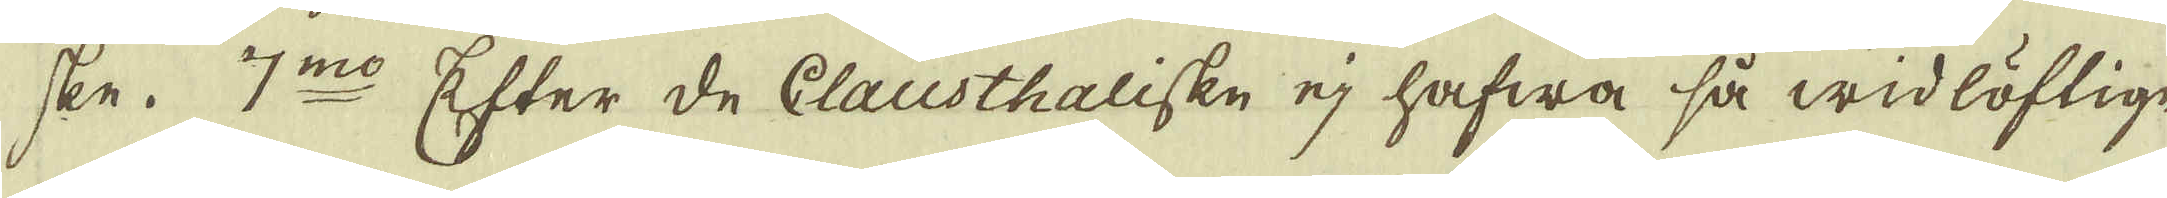ske. 7:mo Efter de Clausthaliske ej hafwa så widlöftige
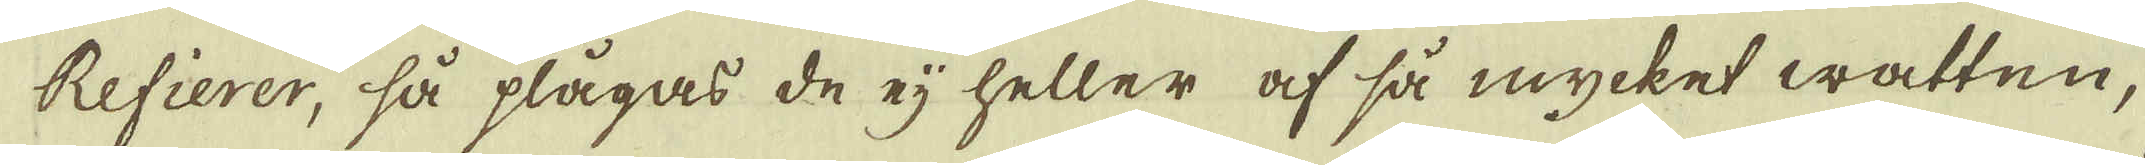Refierer, så plågas de ej heller af så mycket watten,
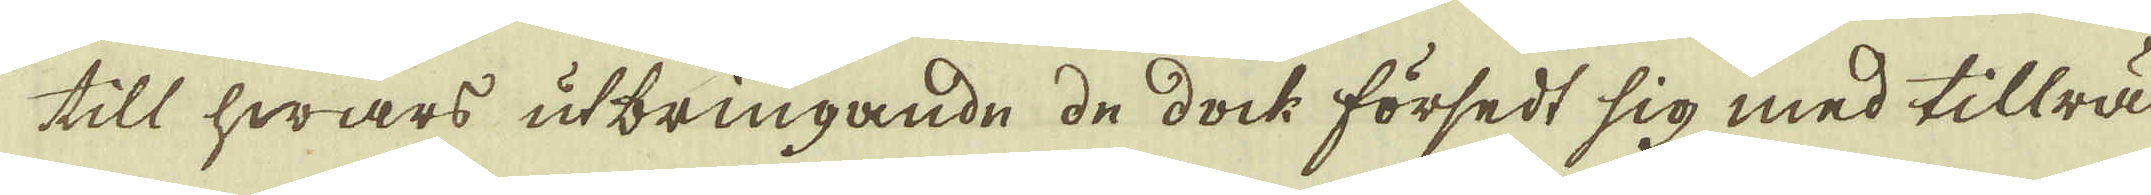till hwars utbringande de dock försedt sig med tillräc-
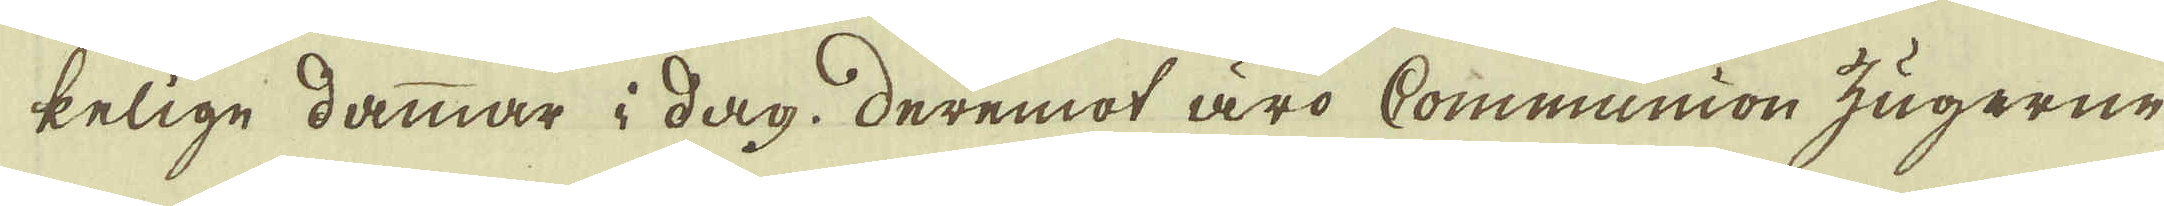kelige dammar i dag, deremot äro Communion zugerne
